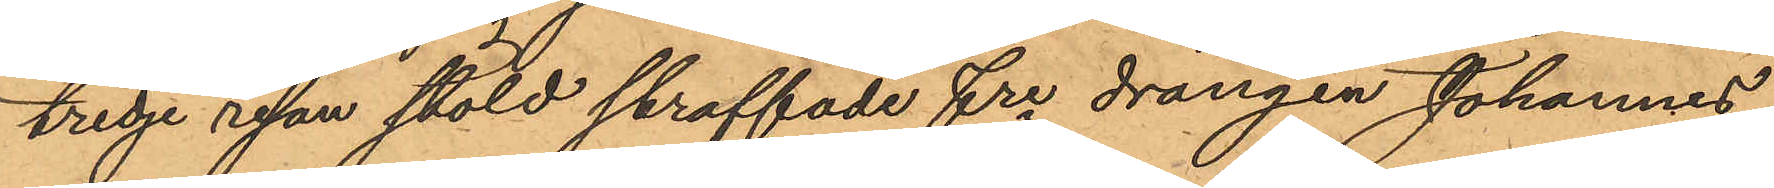tredje resan stöld straffade fre drängen Johannes
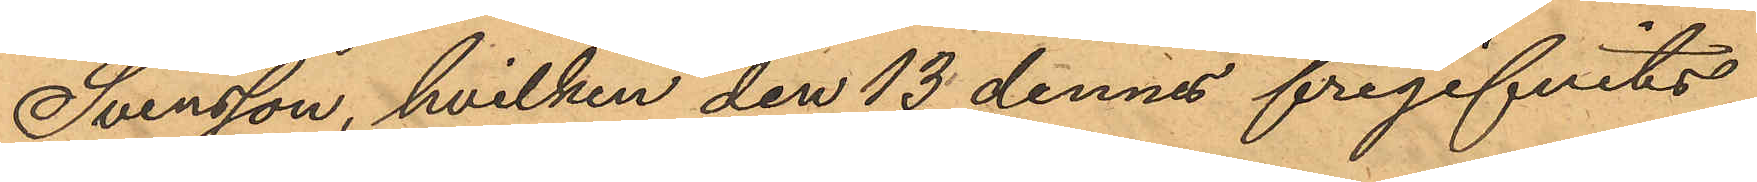Svensson, hvilken den 13 dennes frigifvits
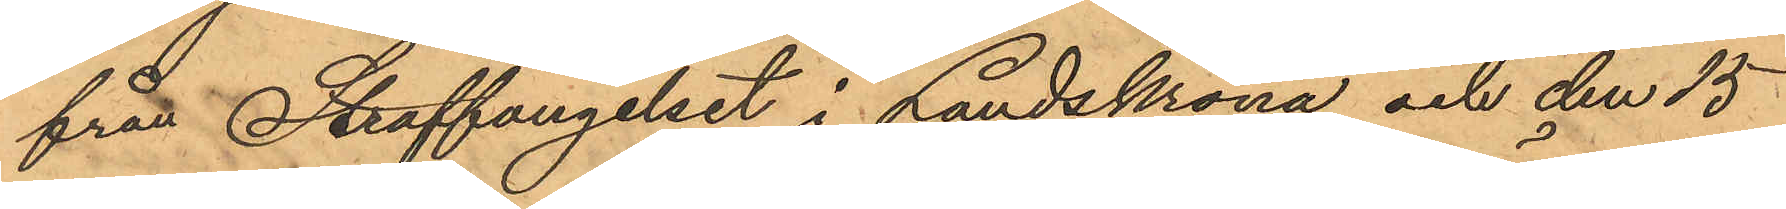från Straffängelset i Landskrona och den 15
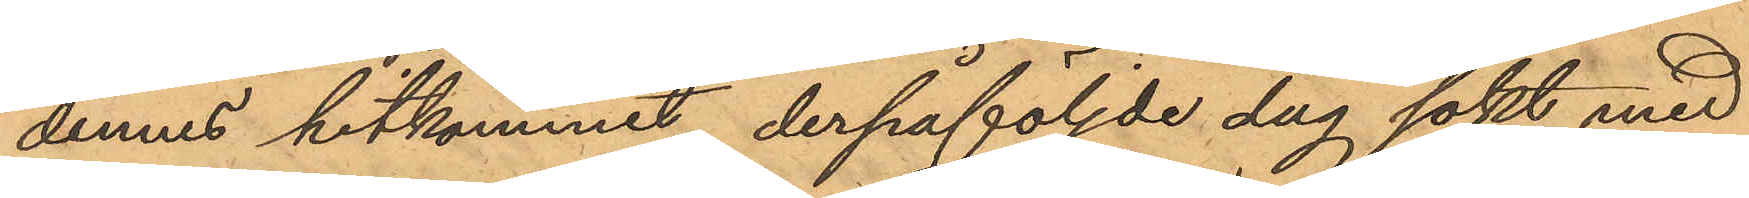dennes hitkommit, derpåföljde dag sökt med
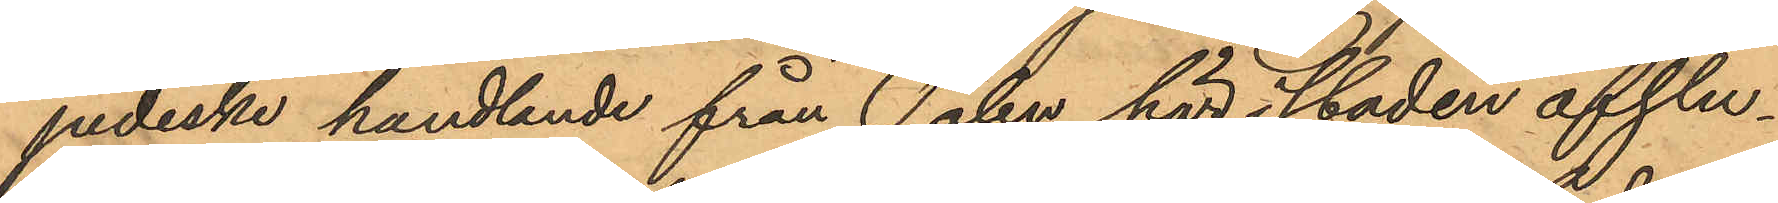judiske handlande från Polen här i staden afslu¬
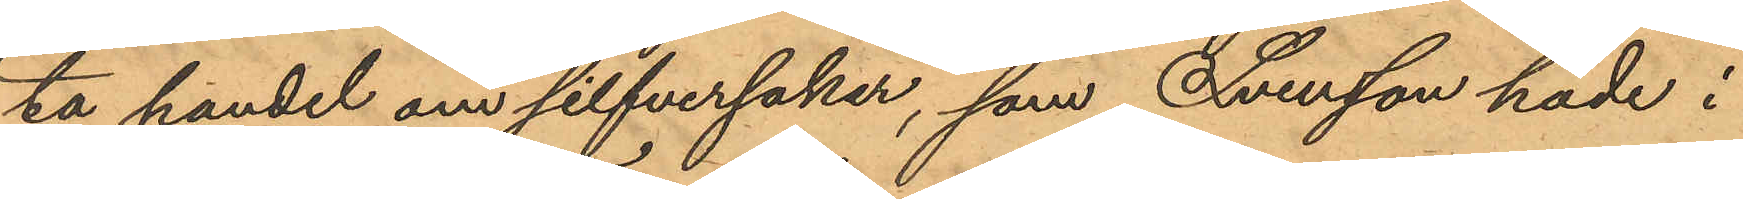ta handel om silfversaker, som Svensson hade i
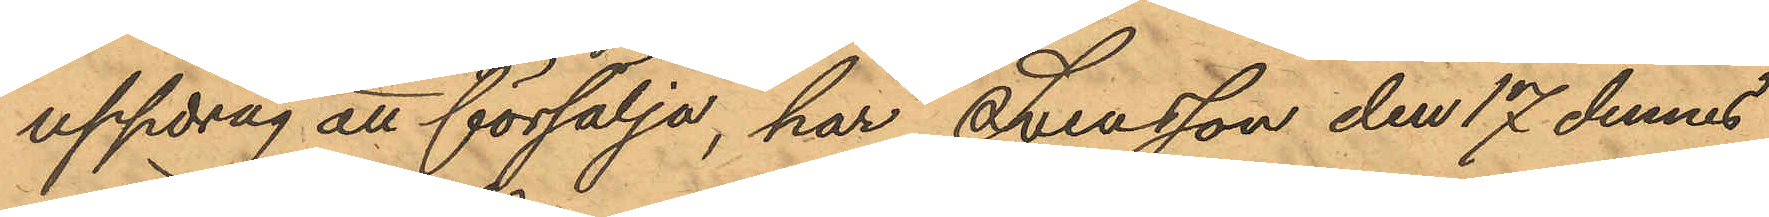uppdrag att försälja, har Svensson den 17 dennes
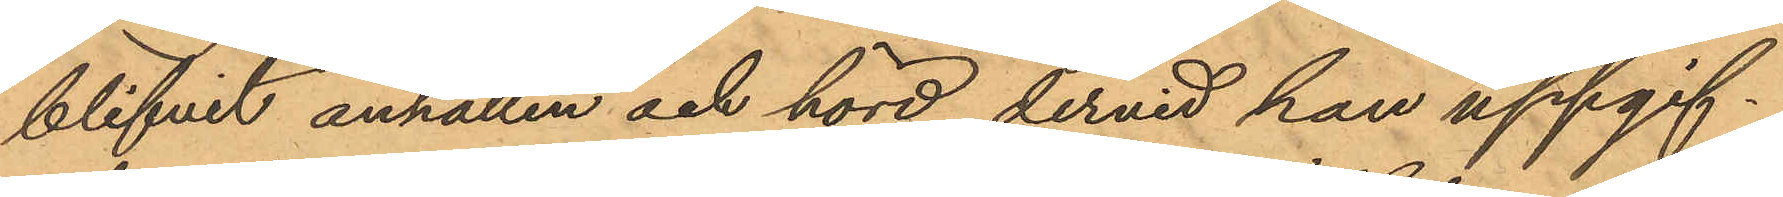blifvit anhållen och hörd, dervid han uppgif¬
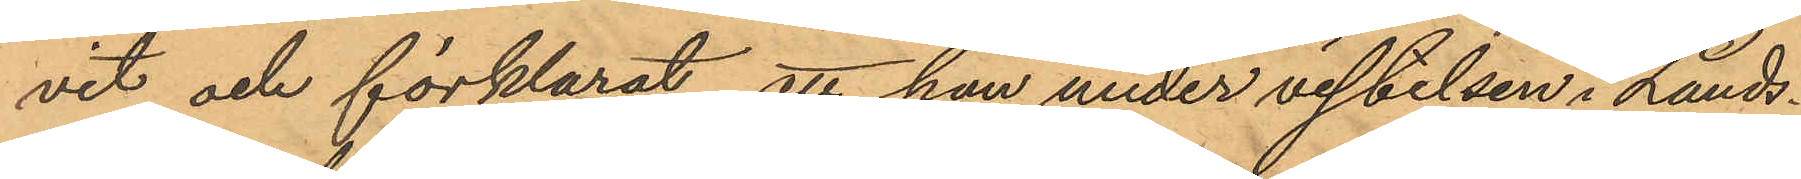vit och förklarat, att han under vistelsen i Lands¬
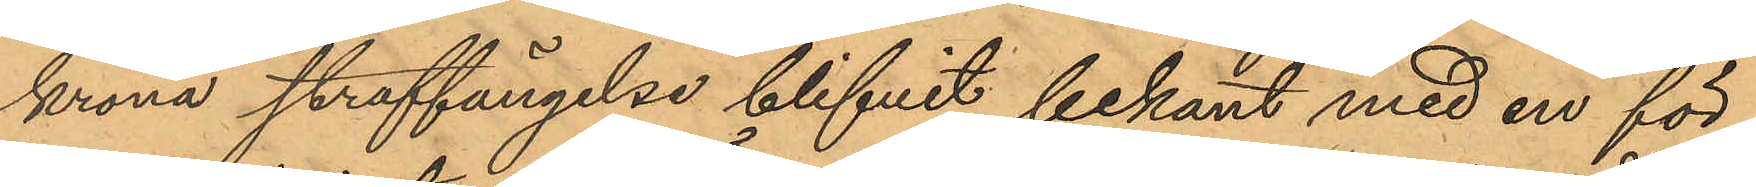krona straffängelse blifvit bekant med en för
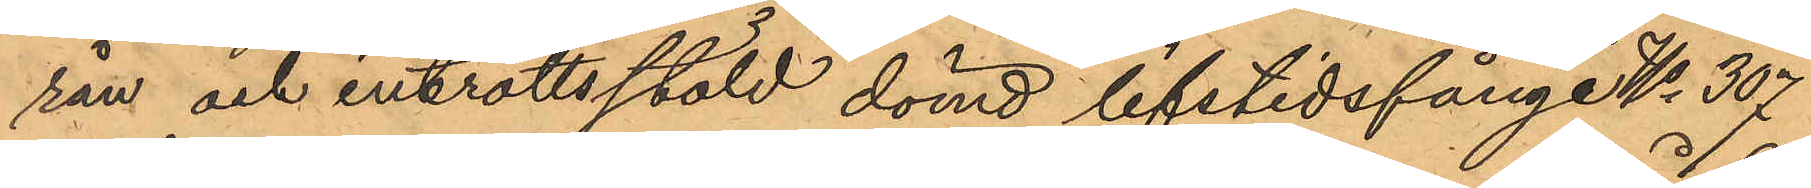rån och introttsstöld dömd lifstidsfånge No 307
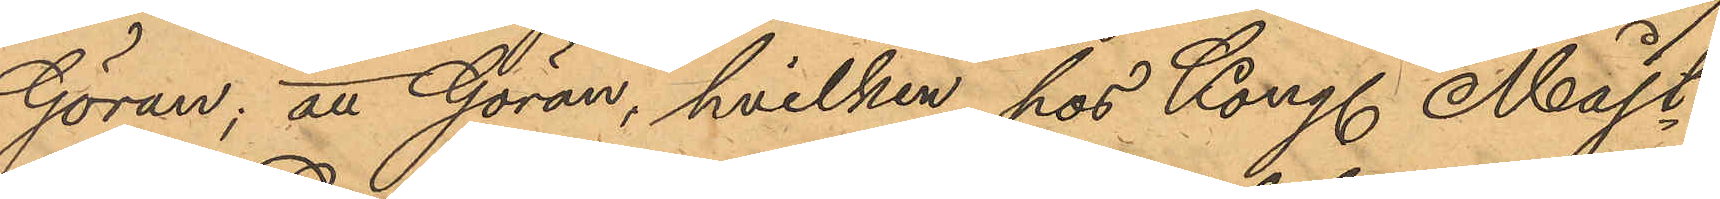Göran; att Göran, hvilken hos Kong. Majt.
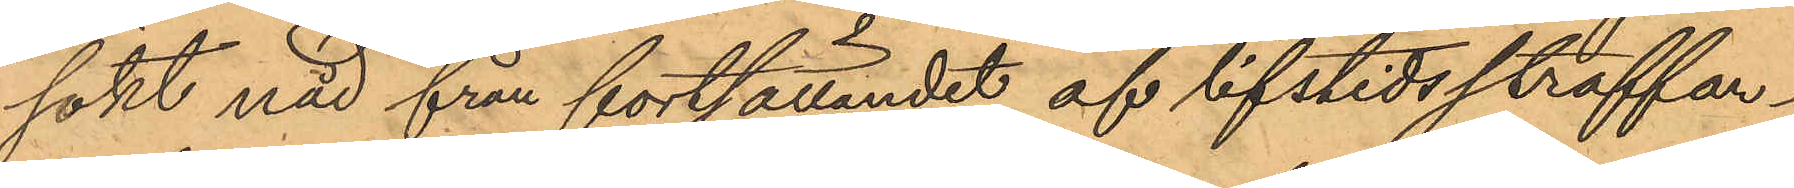sökt nåd från fortsättandet af lifstidsstraffar¬
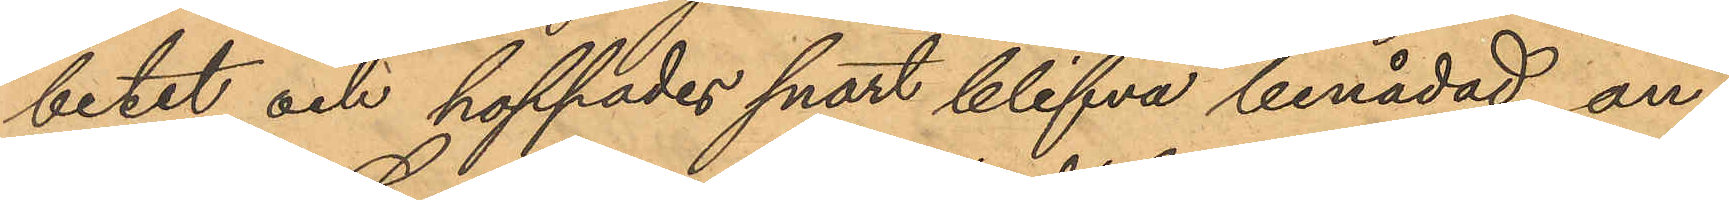betet och hoppades snart blifva benådad an¬
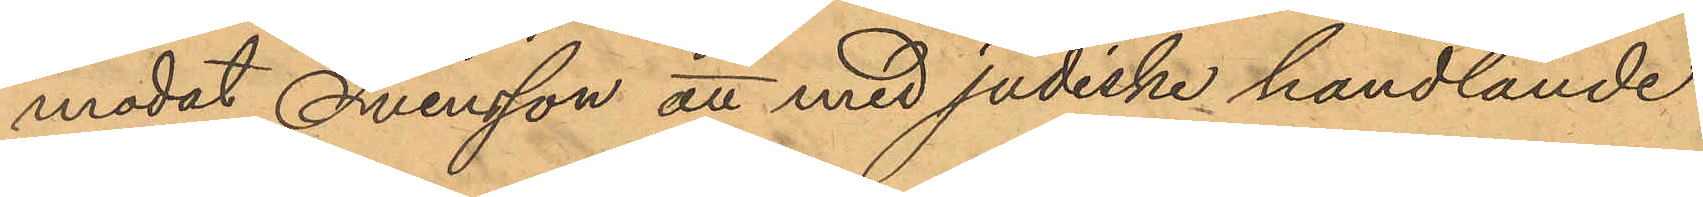modat Svensson att med judiske handlande
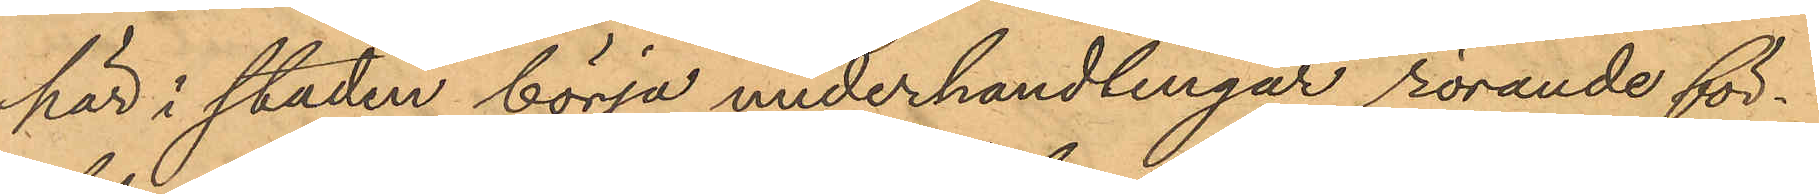här i staden börja underhandlingar rörande för¬
